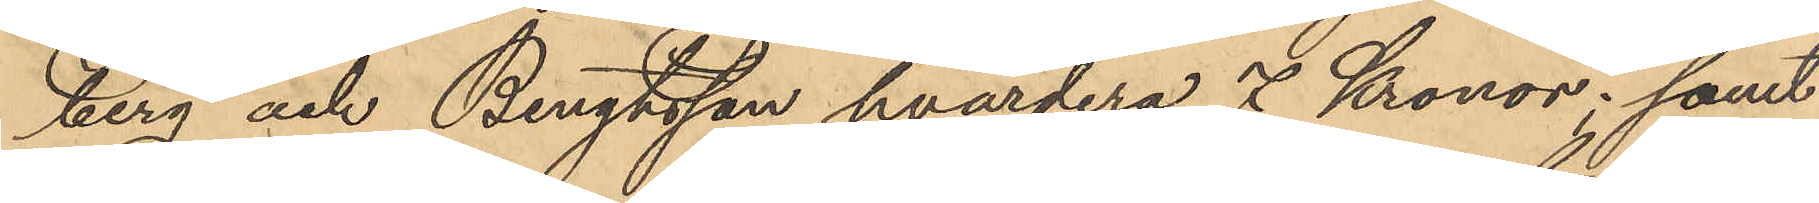berg och Bengtsson hvardera 7 Kronor; samt
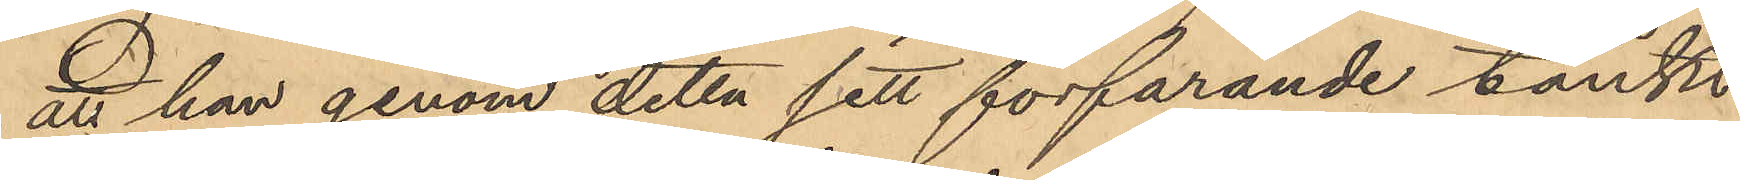att han genom detta sitt förfarande tänkt
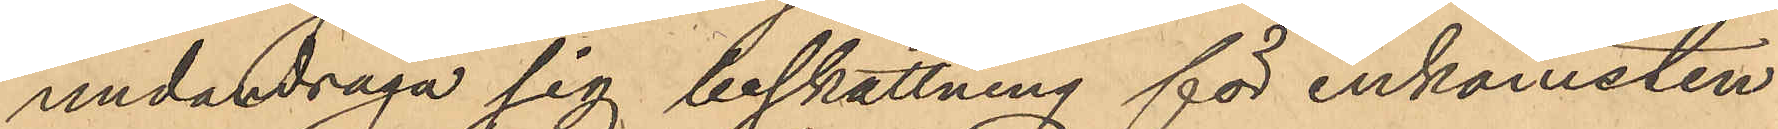undandraga sig beskattning för inkomsten
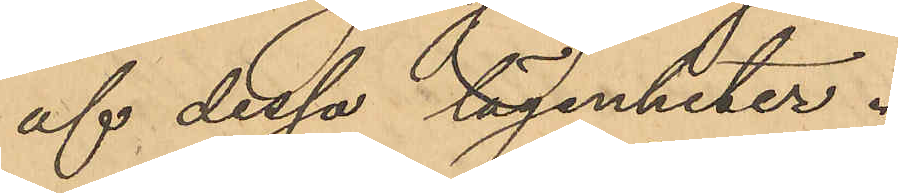af dessa lägenheter.
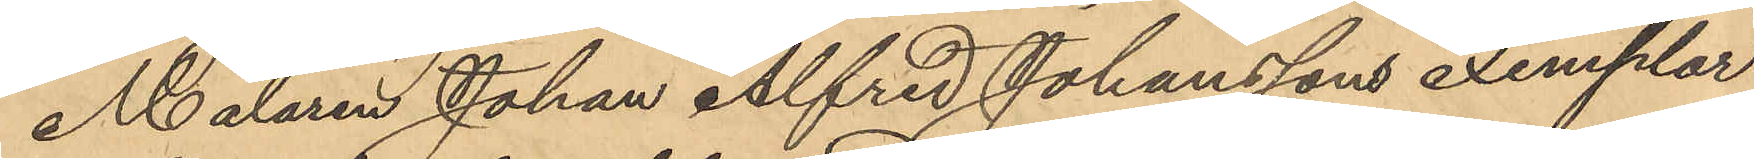Målaren Johan Alfred Johanssons exemplar
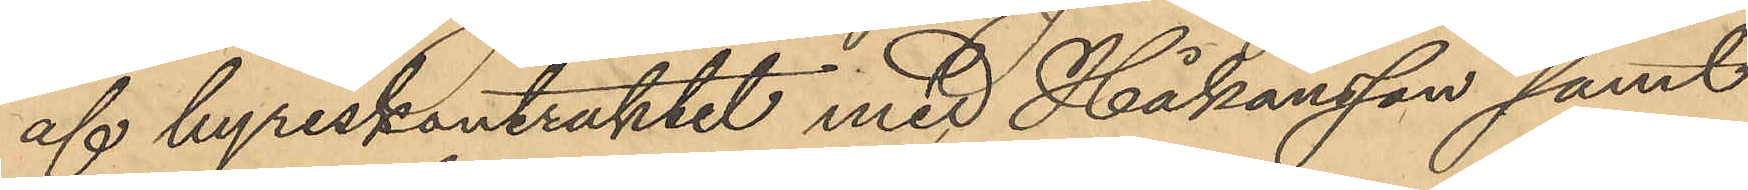af hyreskontraktet med Håkansson samt
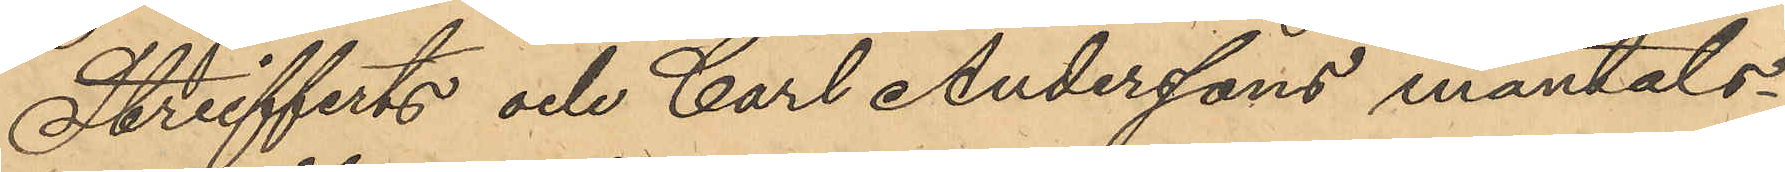Streifferts och Carl Anderssons mantals¬
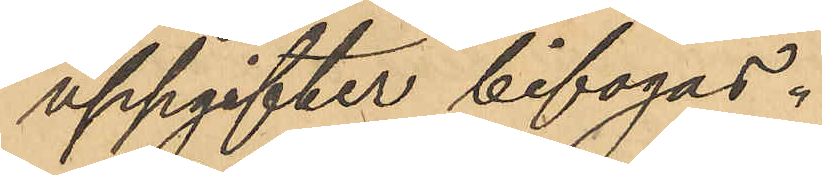uppgifter bifogas.
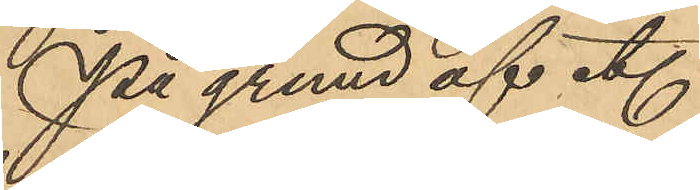På grund af et.
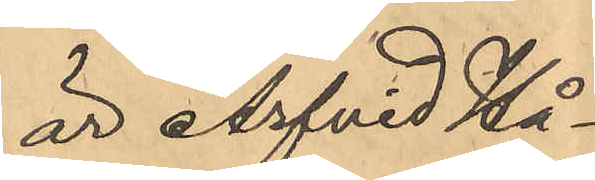är Arfvid Hå¬
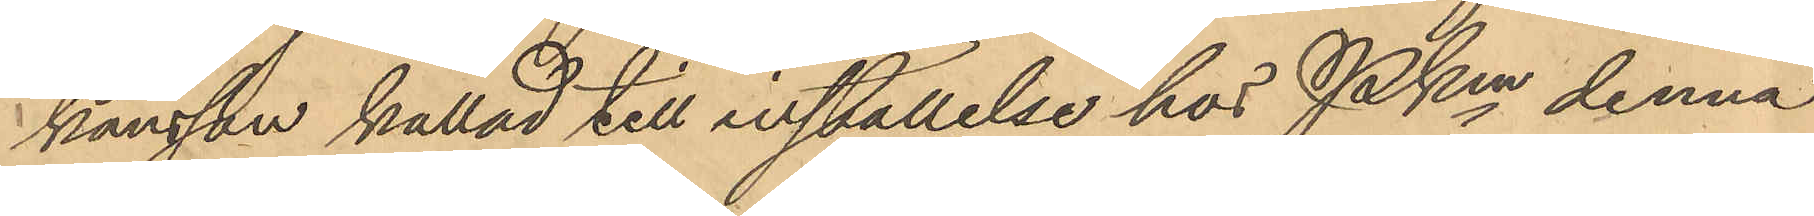kanssan kallad till inställelse hos Pken denna
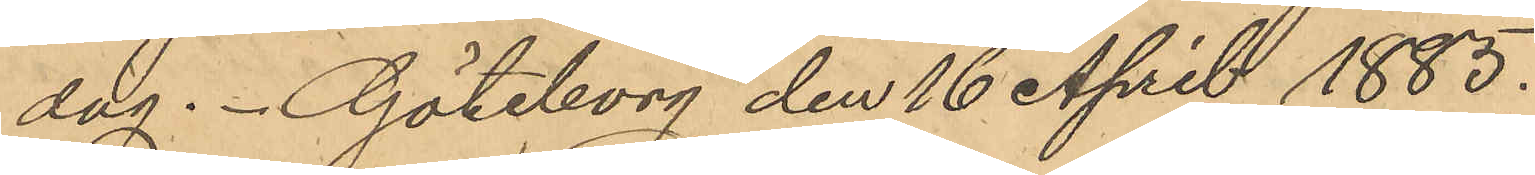dag. Göteborg den 16 April 1883.
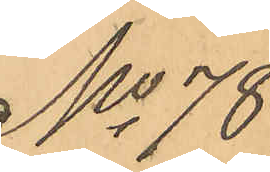No 78
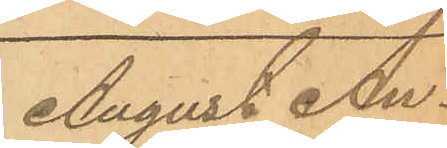August An¬
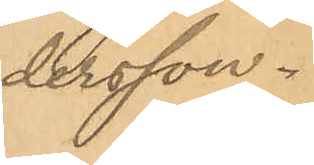dersson.
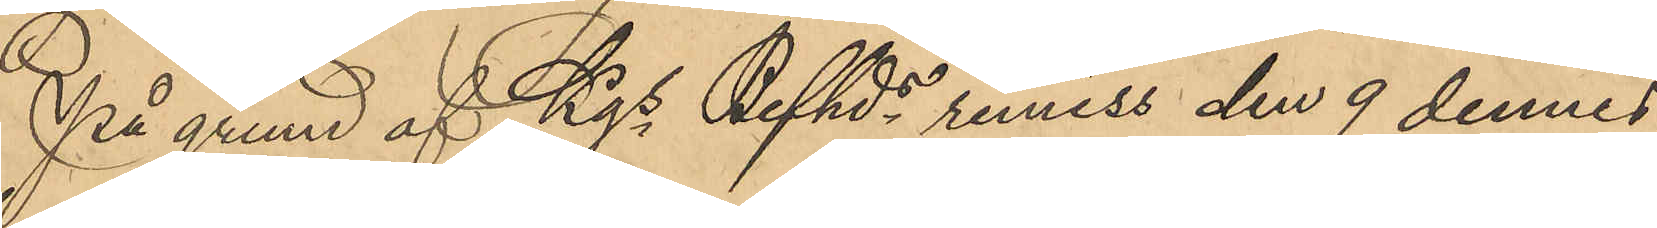På grund af Kgs Befhds remiss den 9 dennes
